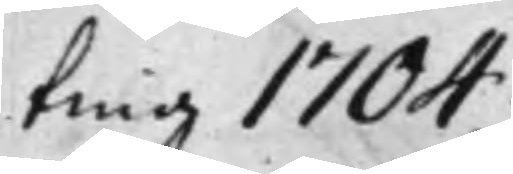ting 1704.
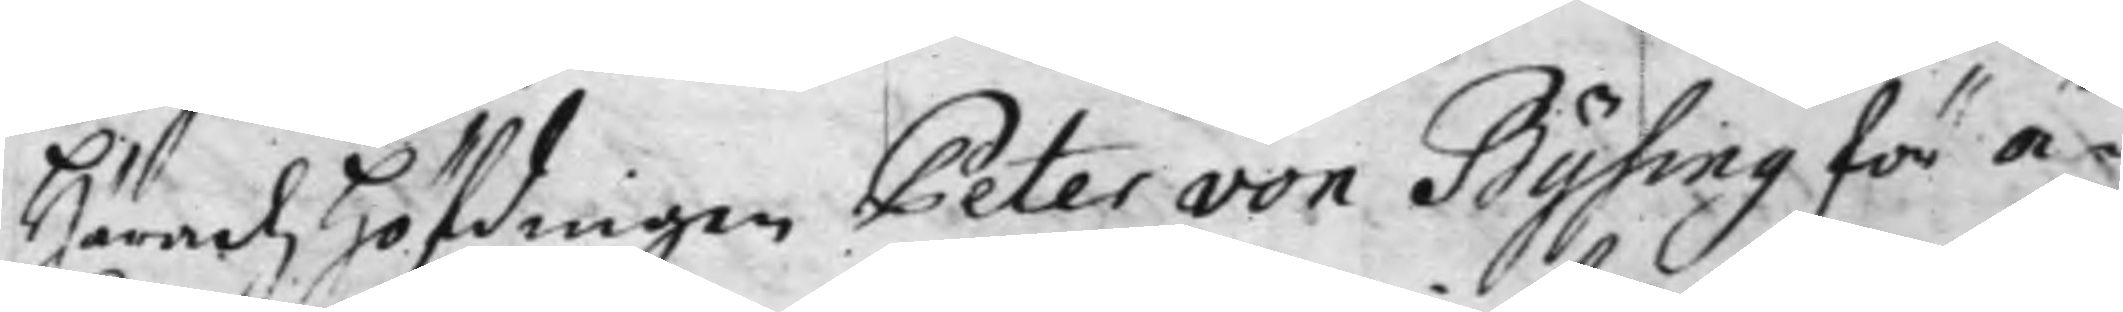Häradz Höfdingen Peter von Bysing för Å¬
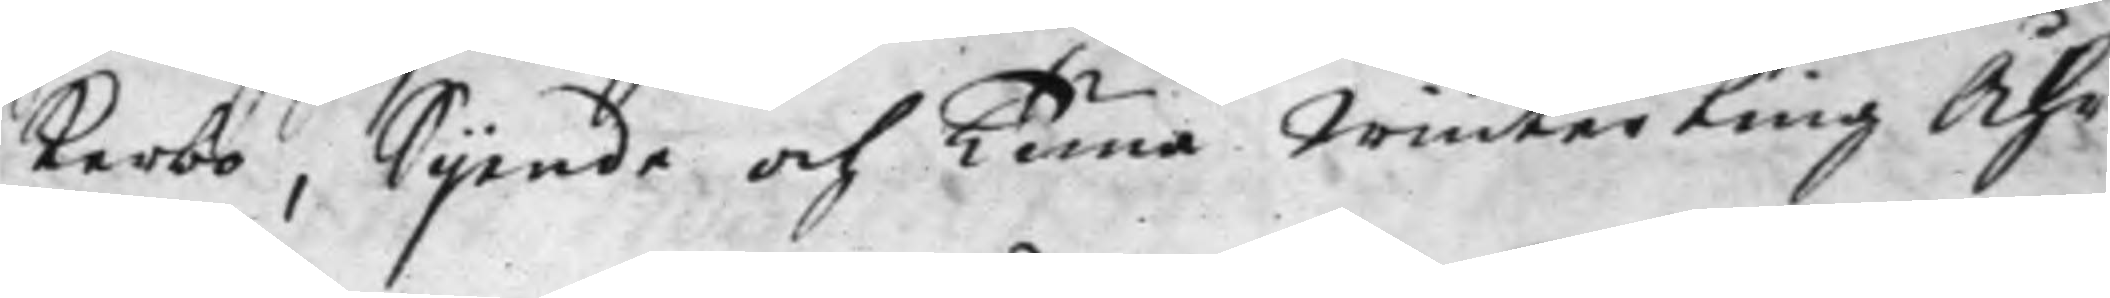kerbo, Sijende och Tuna Winterting Åhr
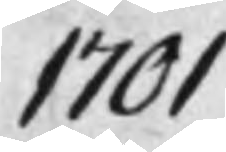1701.
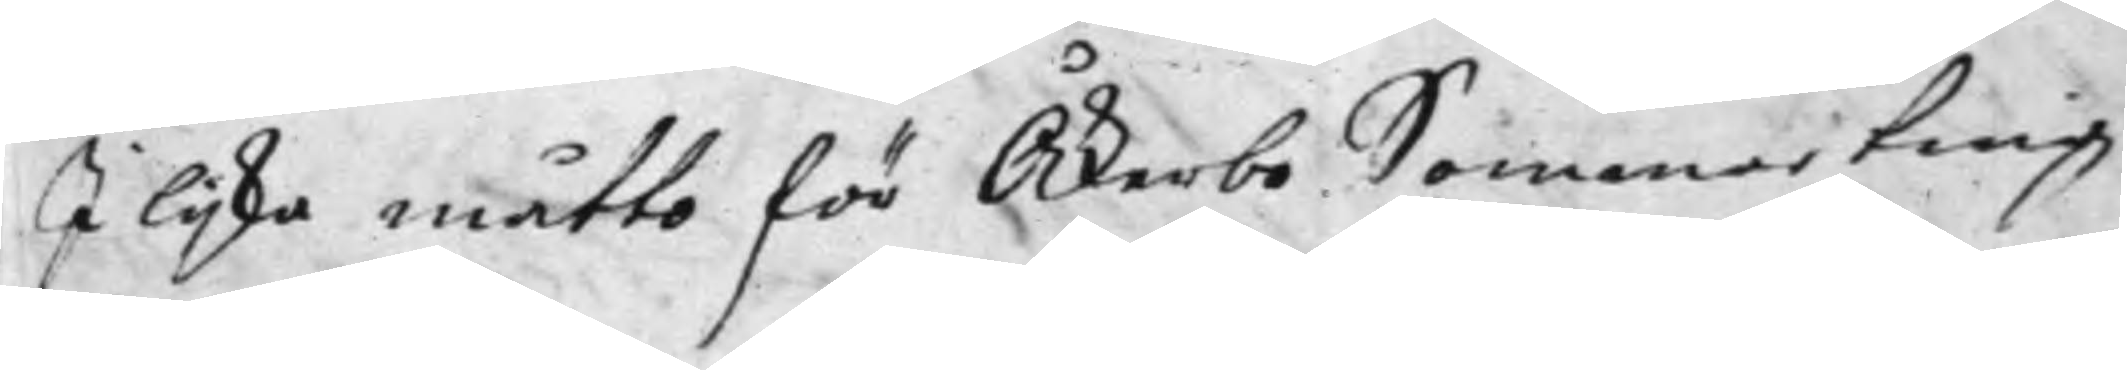I lijka måtto för Åkerbo Sommarting
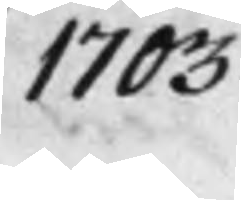1703.
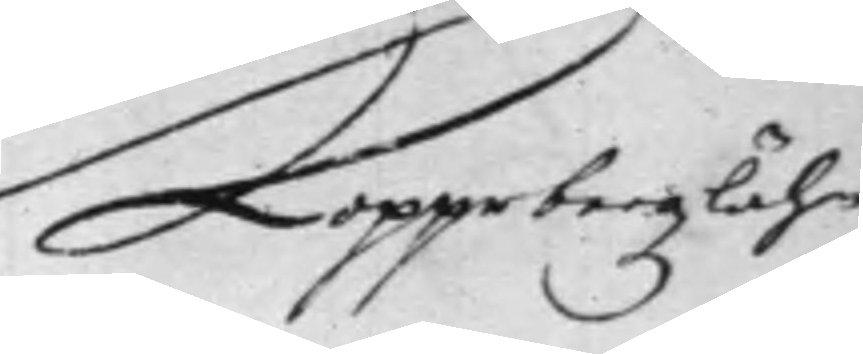Kopparbergz lähn
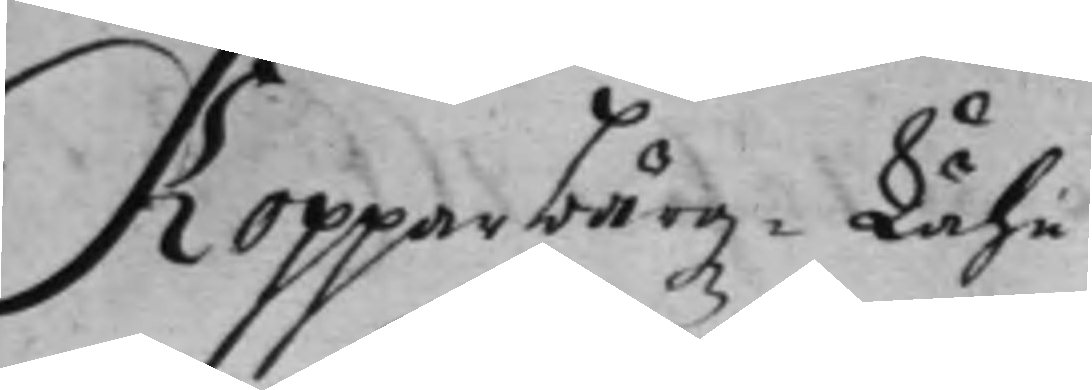Kopparbärgz Lähn.
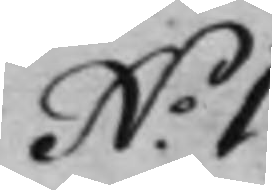N.o 1.
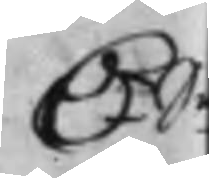D.r S.
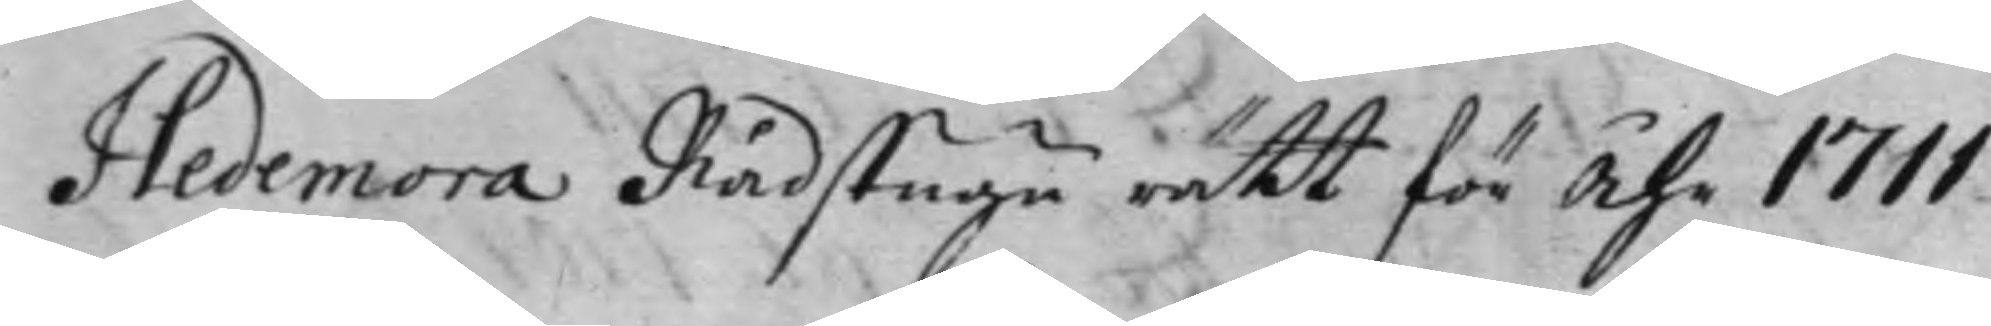Hedemora Rådstugu rätt för Åhr 1711
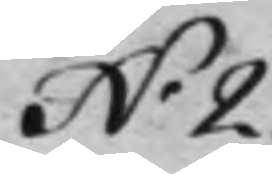N.o 2.
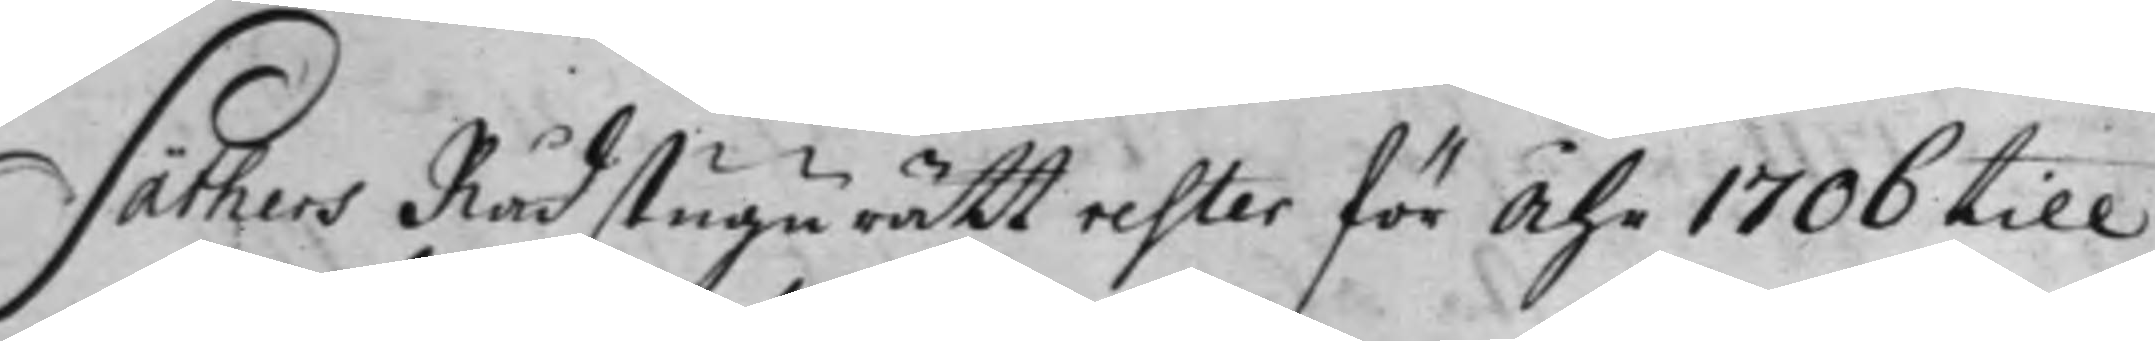Säthers Rådstugu rätt rester för Åhr 1706 till
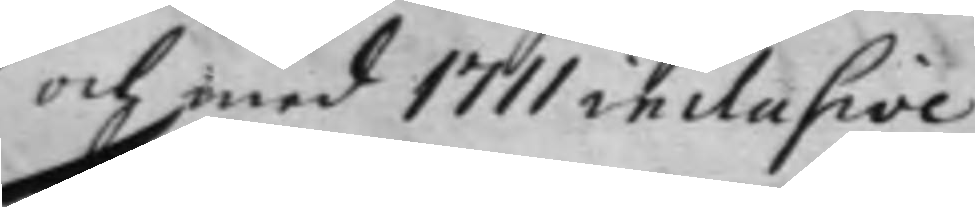och med 1711 inclusive.
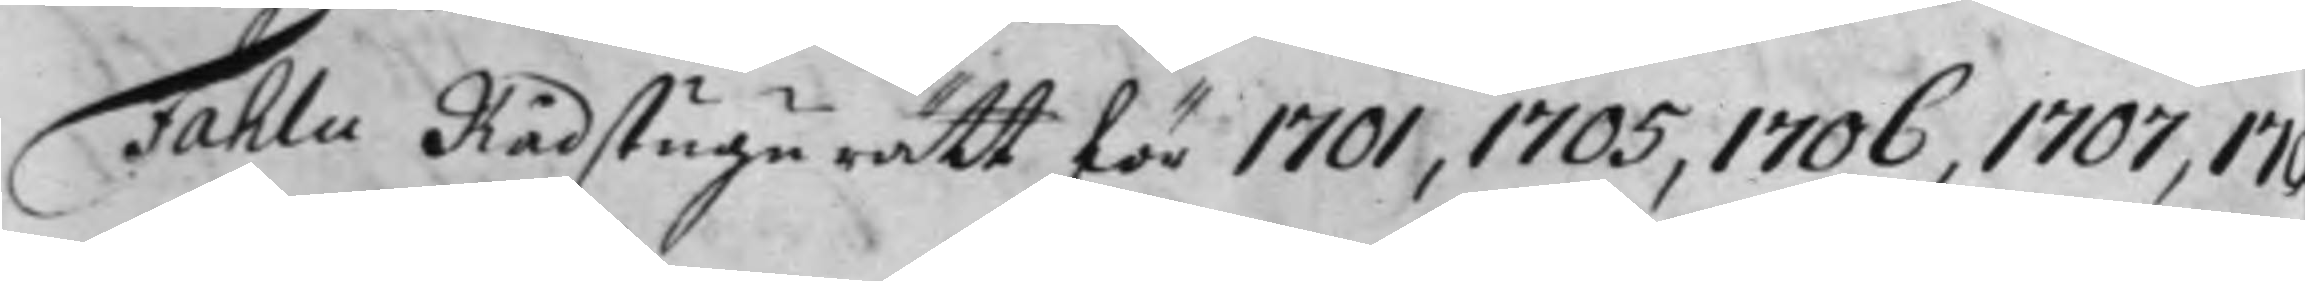Fahlu Rådstugu rätt för 1701, 1705, 1706, 1707, 17
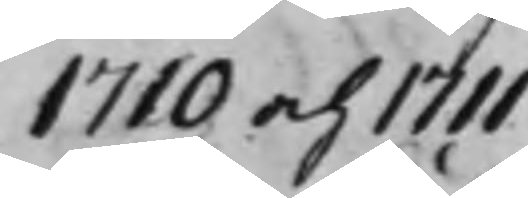1710 och 1711.
